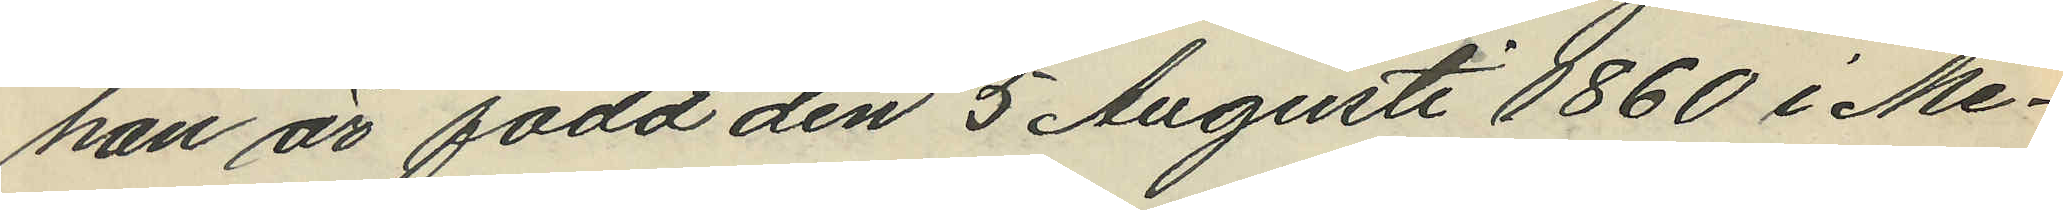han är född den 5 Augusti 1860 i Me¬
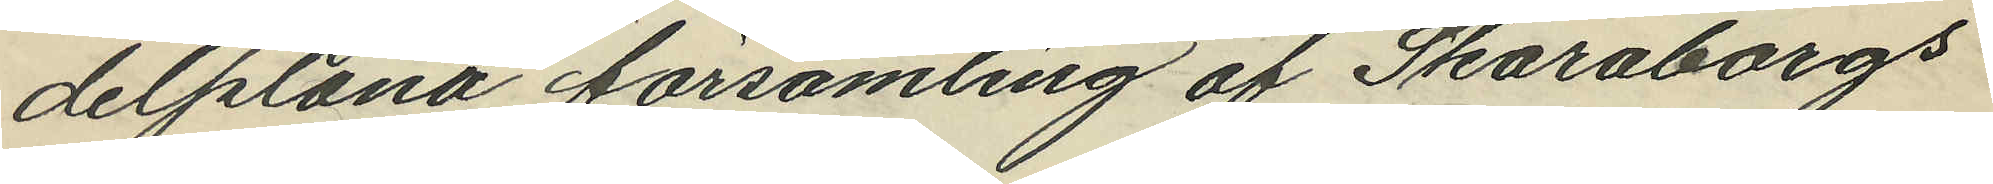delplana församling af Skaraborgs
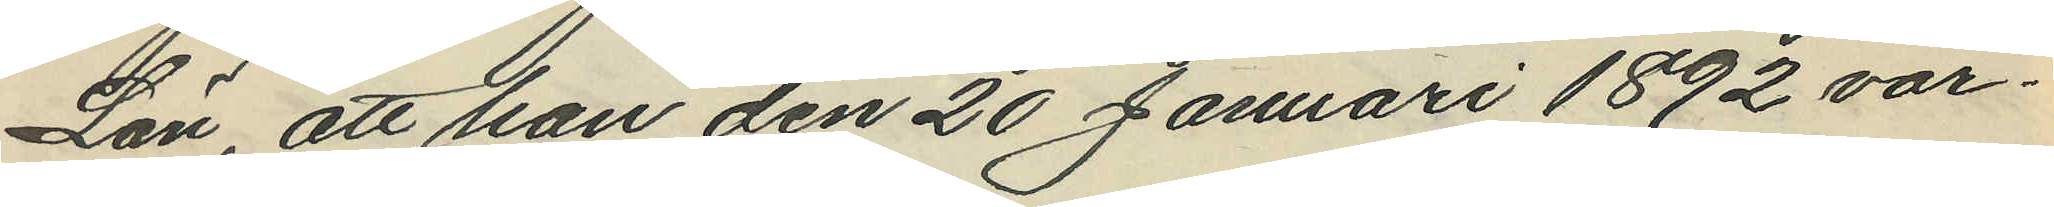Län, att han den 20 Januari 1892 var¬
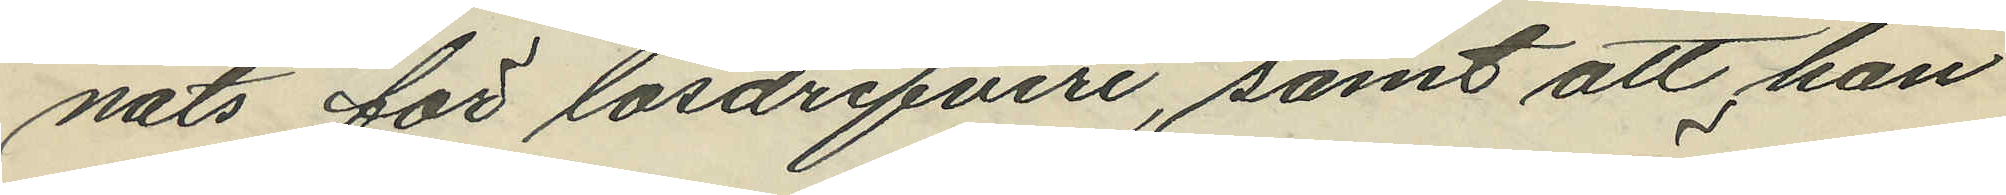nats för lösdrifveri, samt att han
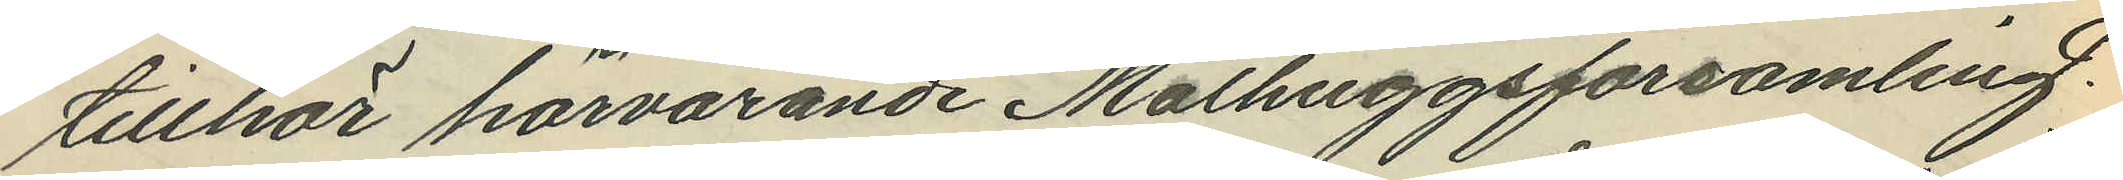tillhör härvarande Mathuggsförsamling.
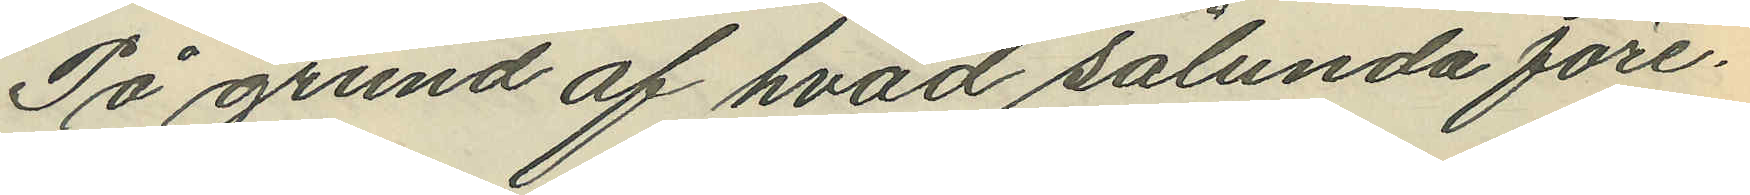På grund af hvad sålunda före¬
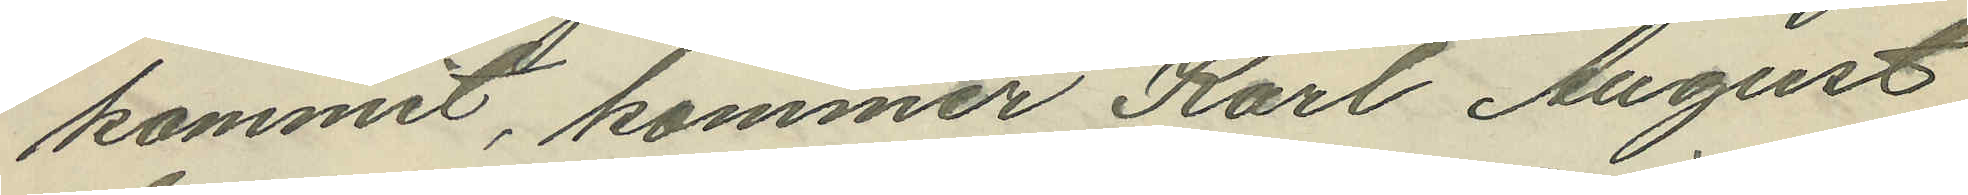kommit, kommer Karl August
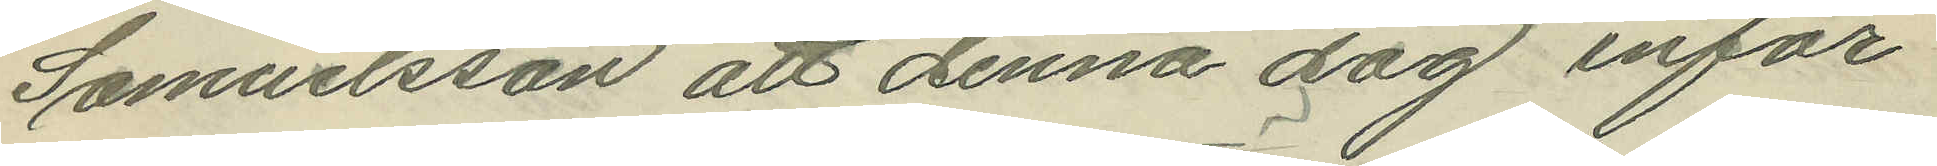Samuelsson att denna dag inför
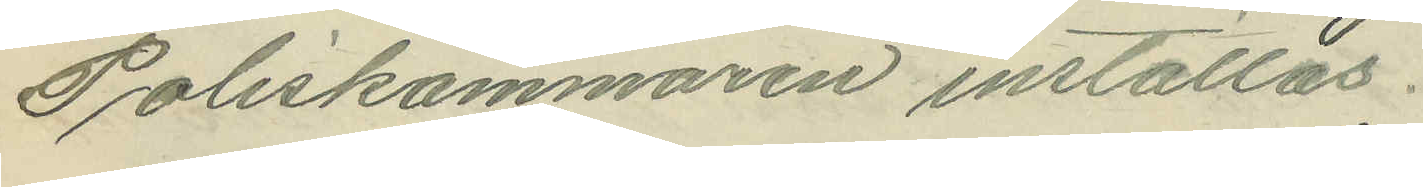Poliskammaren inställas.
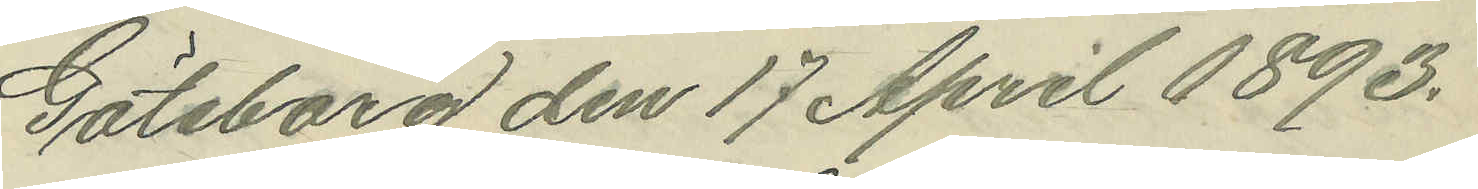Göteborg den 17 April 1893.
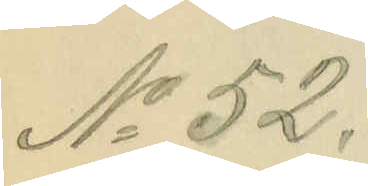No 52.
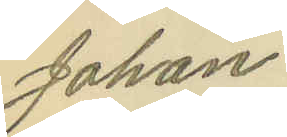Johan
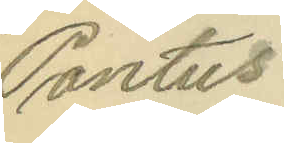Pontus
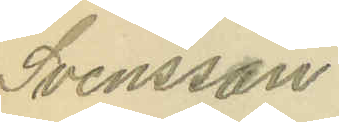Svensson
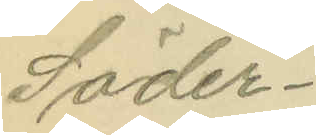Söder¬
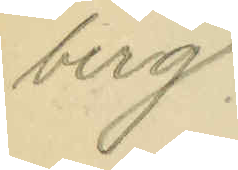berg.
